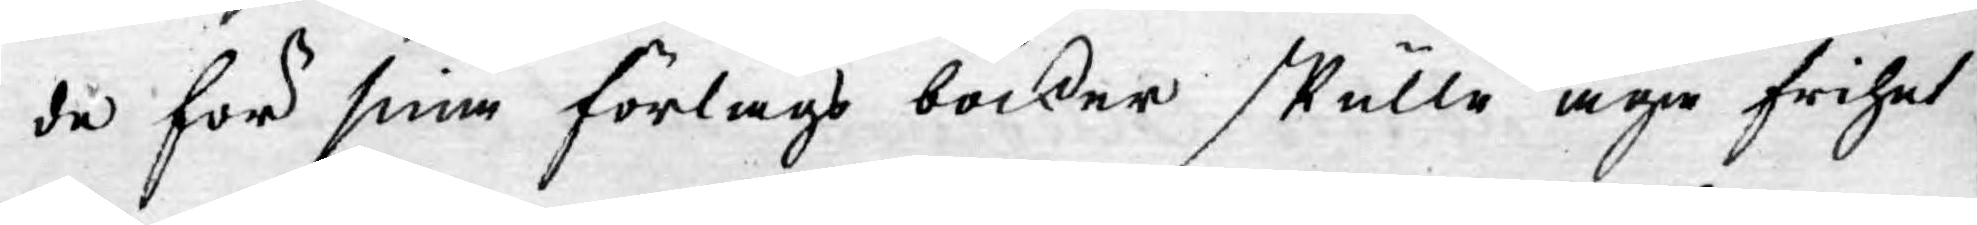de för sina förlags böcker skulle äga frihet
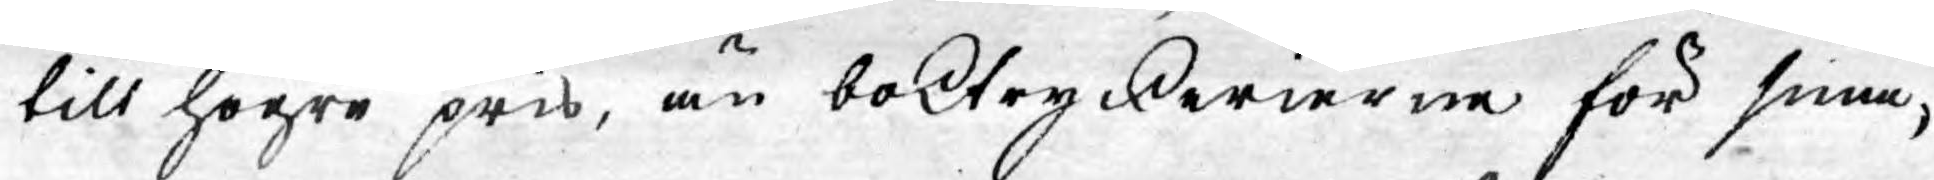till högre pris, än boktryckerierne för sina,
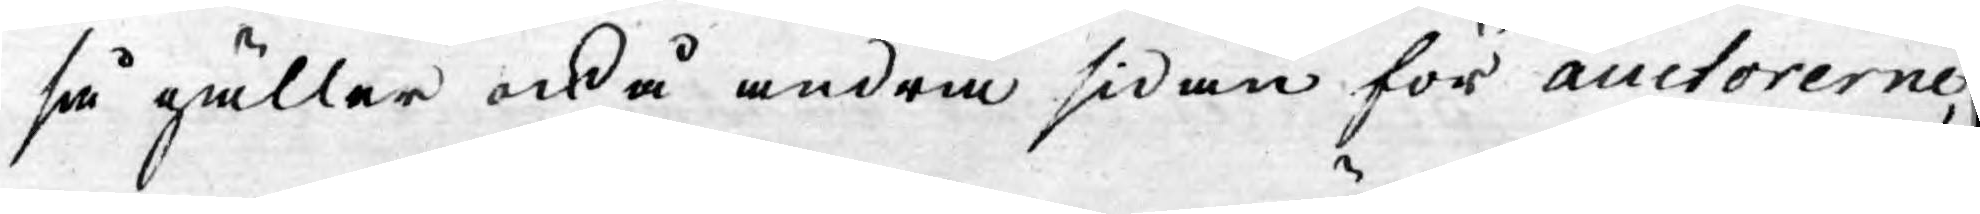så gäller ock å andra sidan för auctorerne,
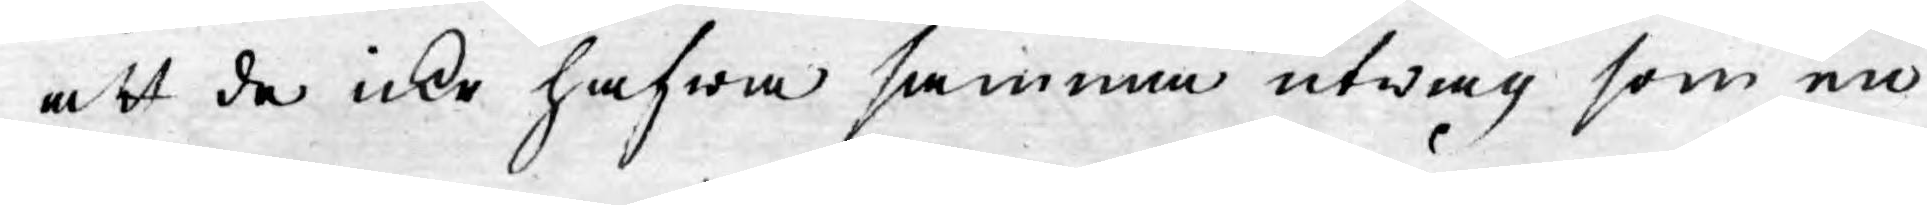att de icke hafwa samma utwäg som en
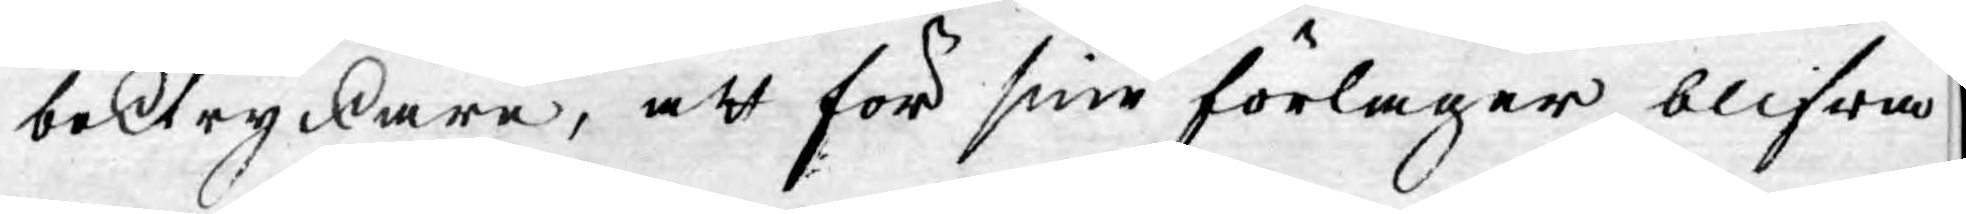boktryckare, att för sine förlager blifwa
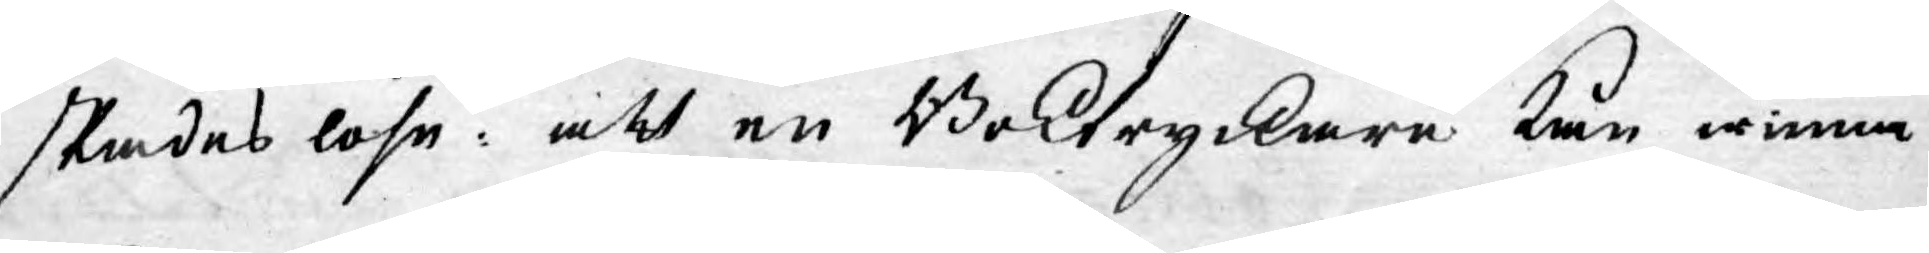skadeslöse: att en Boktryckare kan winna
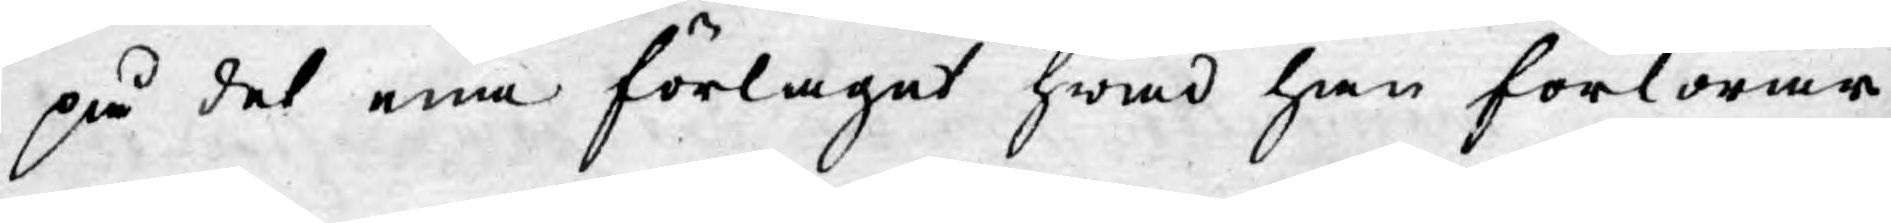på det ena förlaget hwad han förlorar
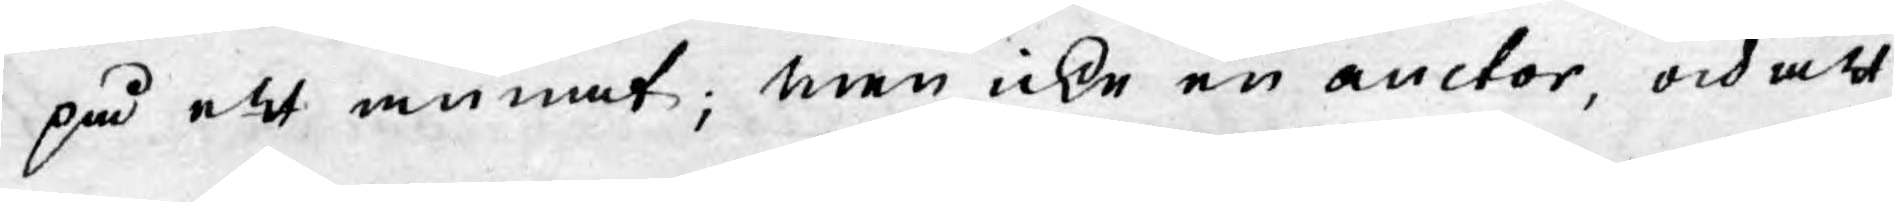på ett annat; men icke en auctor, och att
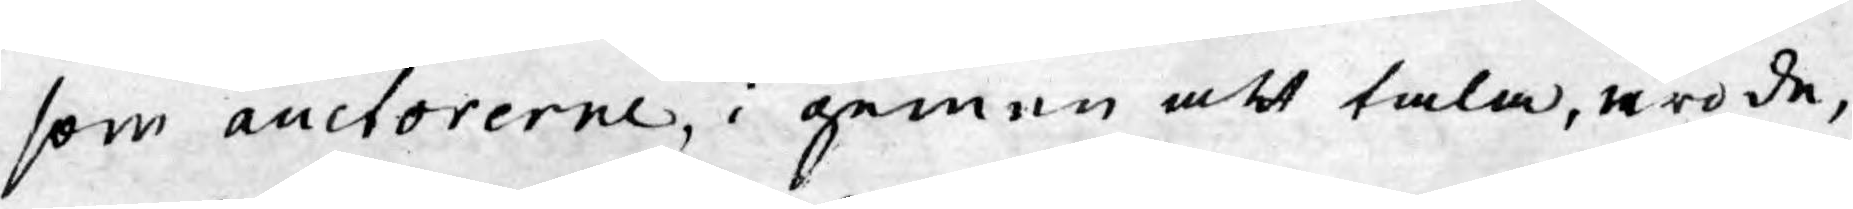som auctorerne, i gemen att tala, äro de,
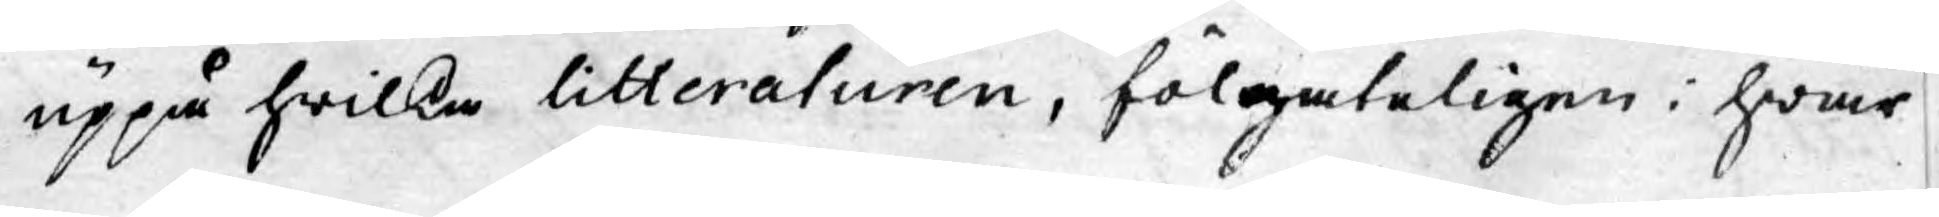uppå hwilka litteraturen, fölgateligen i hwar
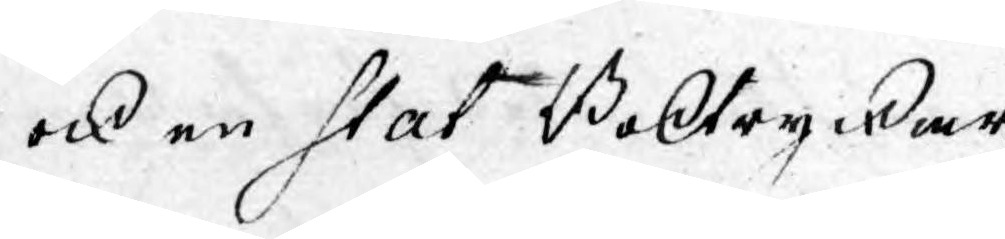ock en Stat Boktrycker¬
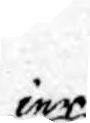ier¬
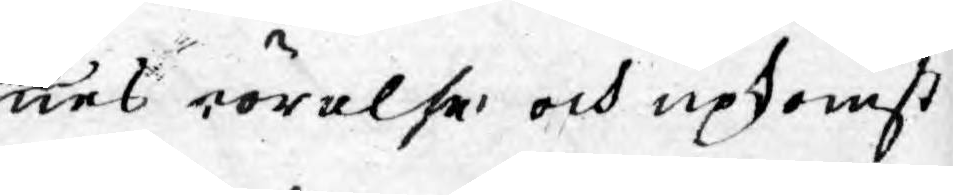nes rörelse och upkomst
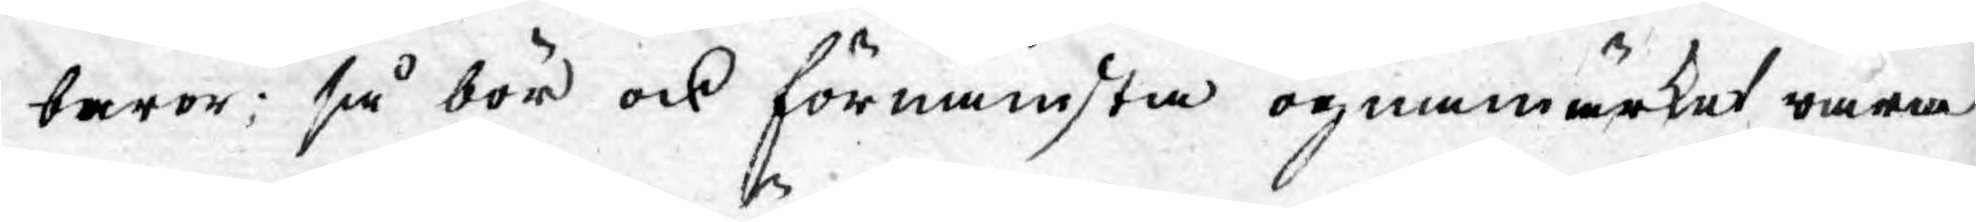beror; så bör ock förnämsta ögonmärket wara
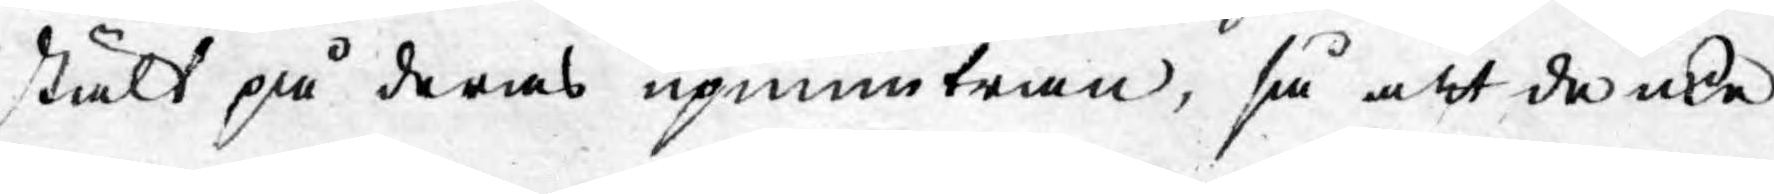stält på deras upmuntran, så att de icke
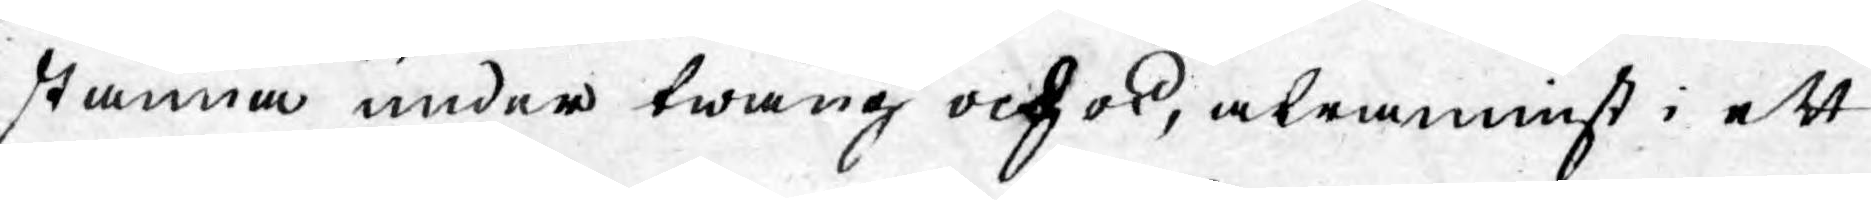komma under twång och ok, aldraminst i ett
